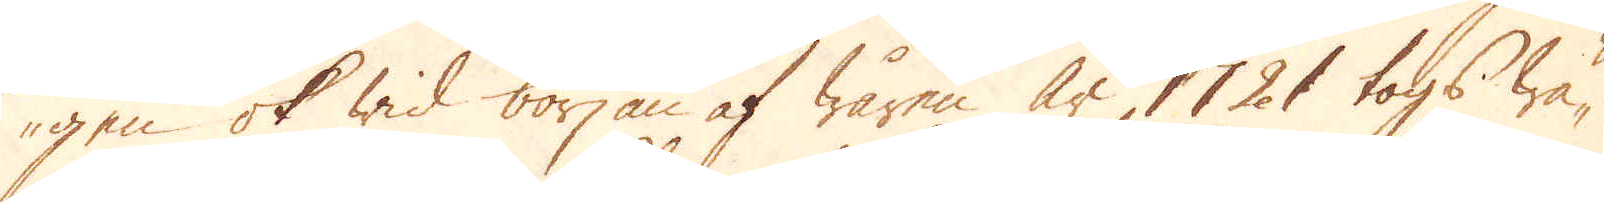gen ok wid början af wåren år 1721 togs wä-
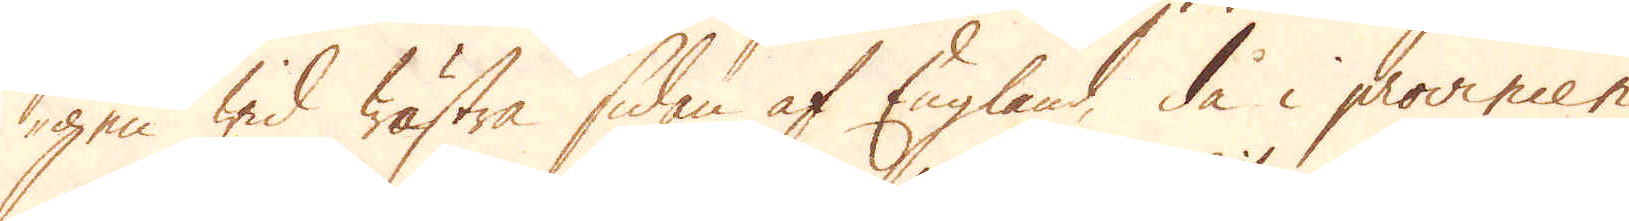gen wid wästra sidan af England, då i provincen
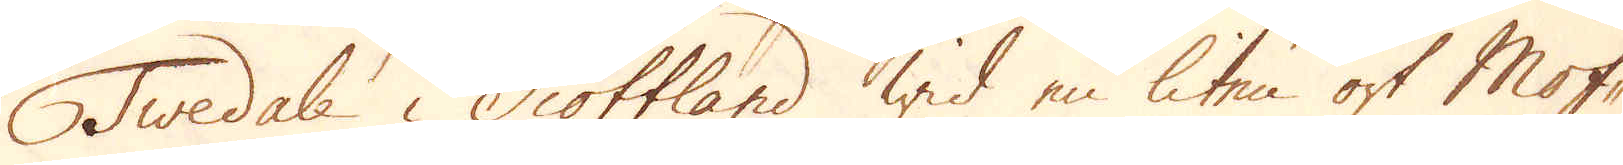Twedale i Scottland wid en liten ort Mof-
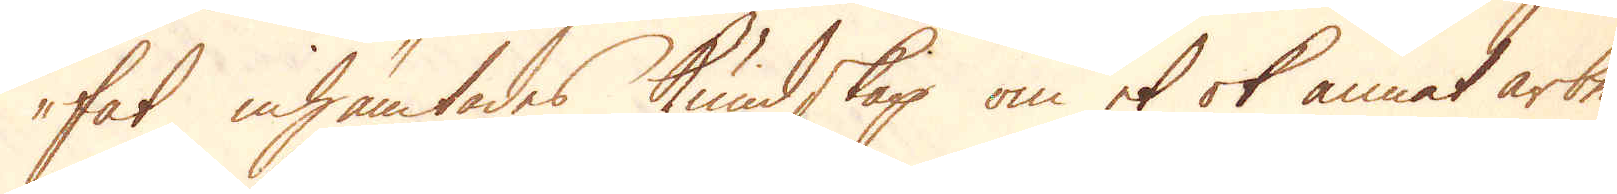fat inhämtades kundskap om et ok annat arbe-
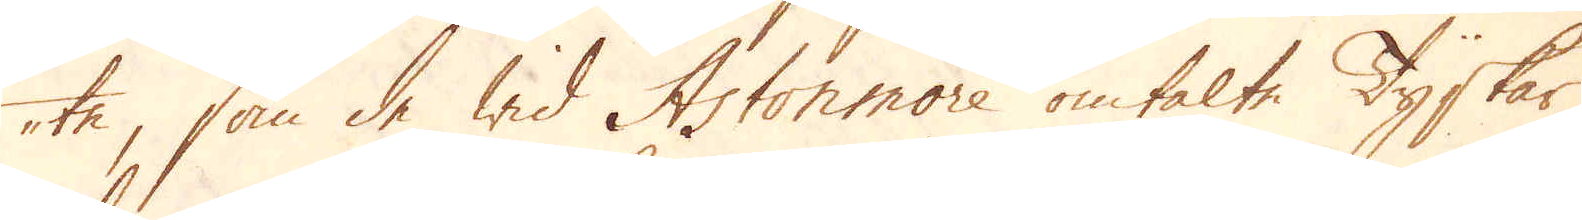te, som de wid Astonmore omtalte Tyskar
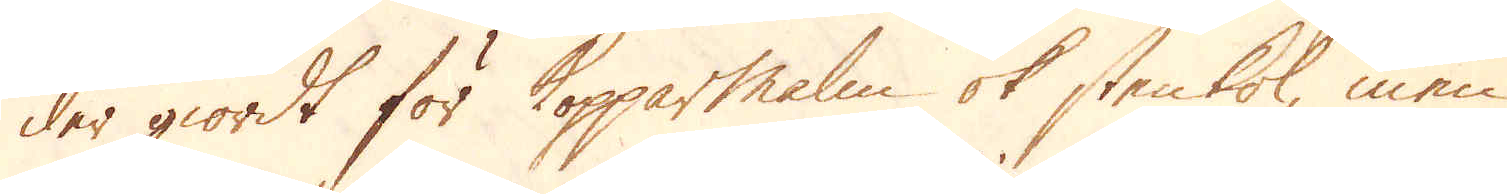der giordt för Kopparmalm ok stenkol, men
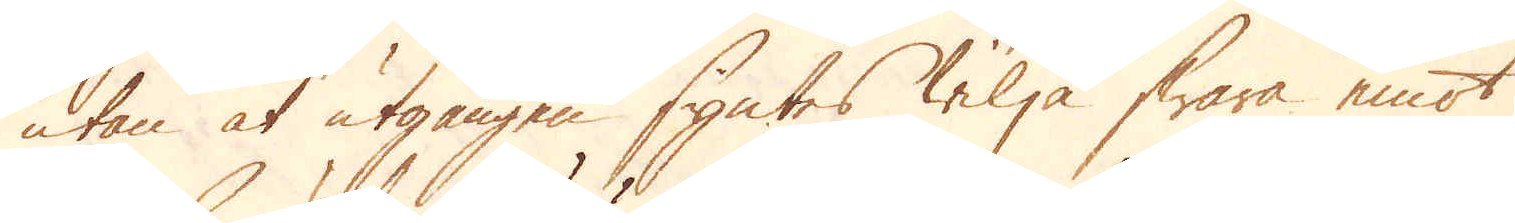utan at utgången syntes wilja swara emot
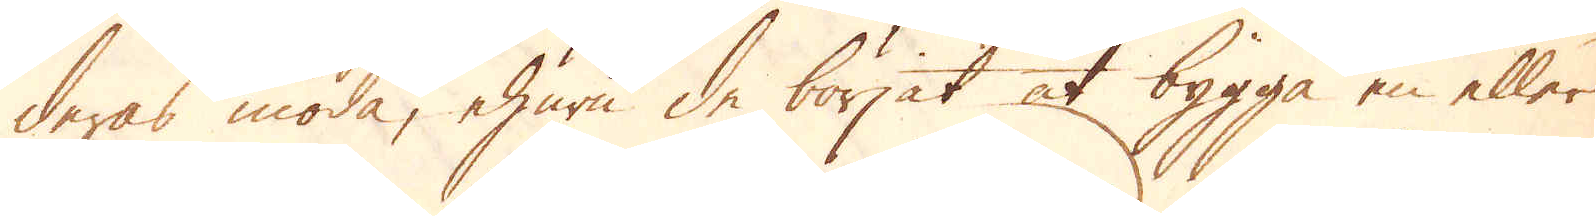deras möda, ehuru de börjat at bygga en eller
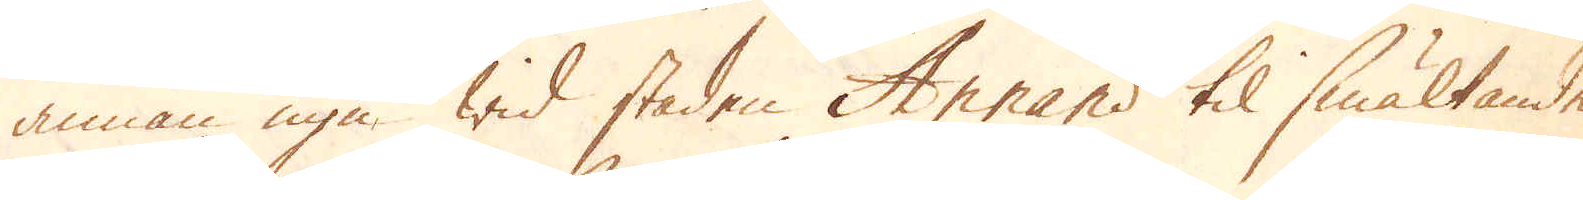annan ugn wid staden Arrand til smältande
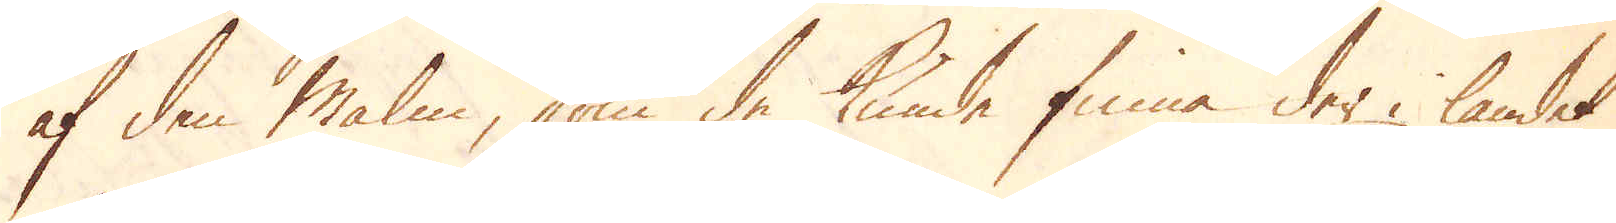af den malm, som de kunde finna der i landet
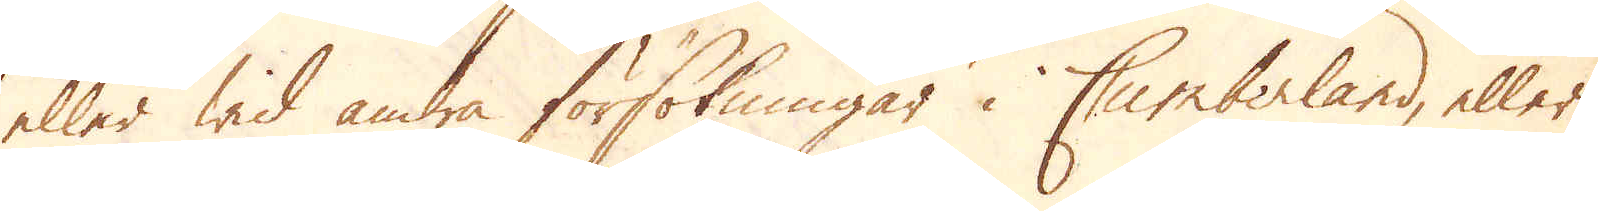eller wid andra försökningar i Cumberland, eller
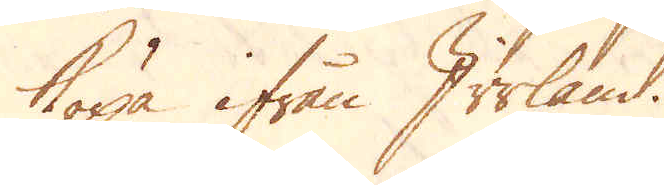köpa ifrån Irrland.
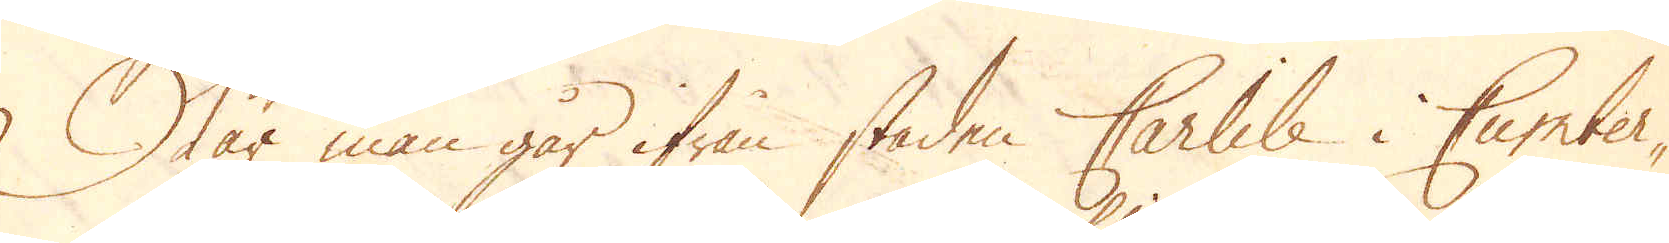När man går ifrån staden Carlile i Cumber-
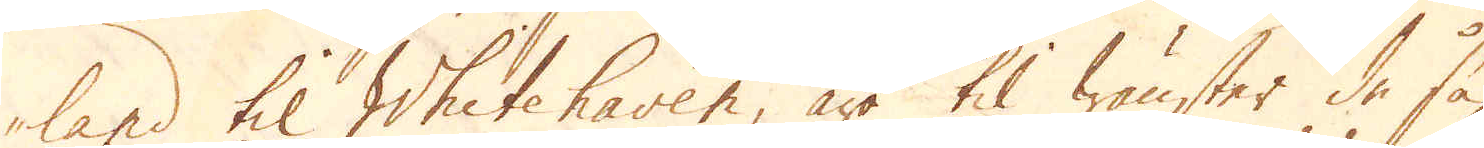land til Whitehaven, äro til wänster de så
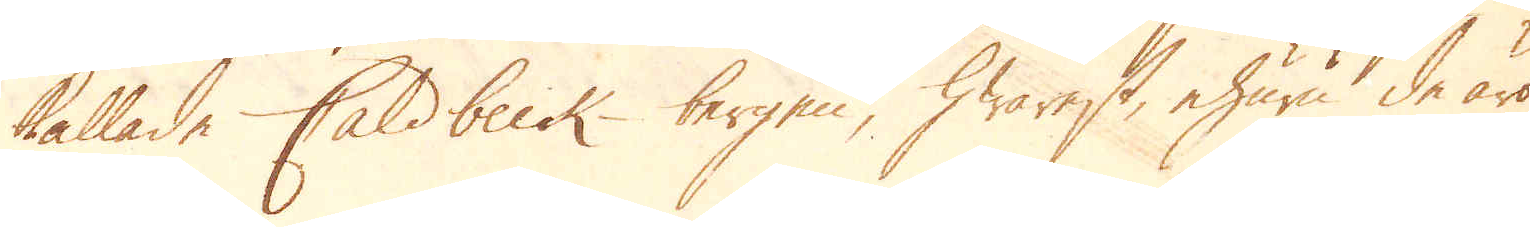kallade Caldbeck-bergen, hwarest, ehuru de äro
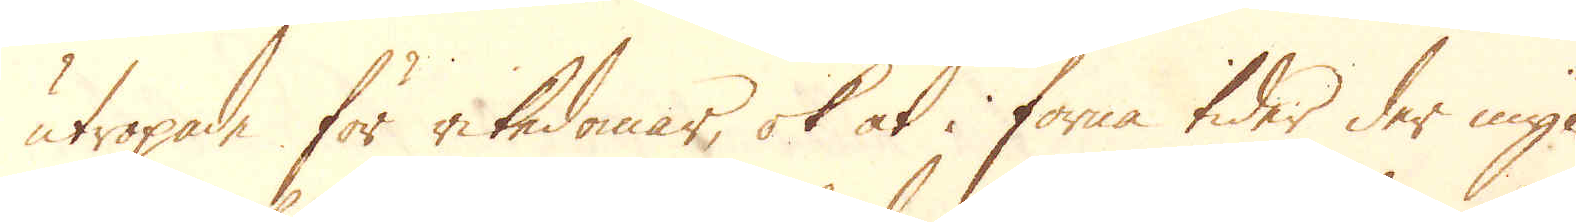utropade för rikedomar, ok at i forna tider der myc-
